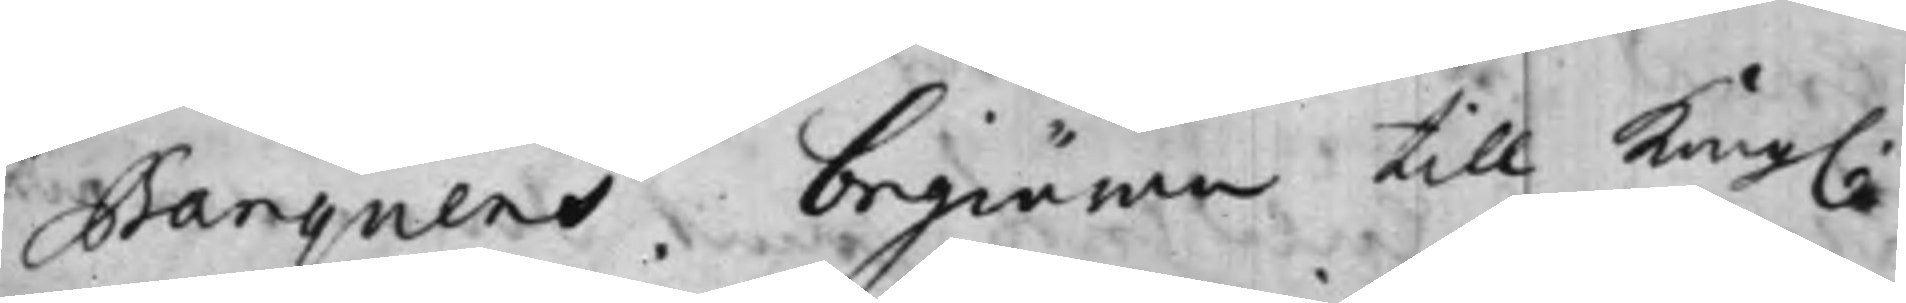Banquens begiäran till Kong.
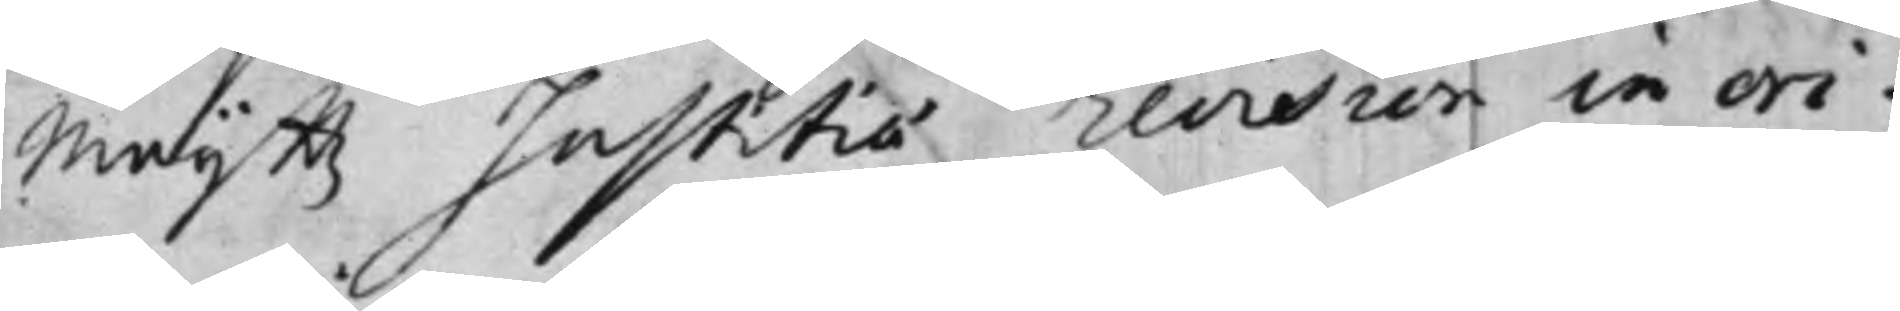Maijttz Justitiae revision in ori¬
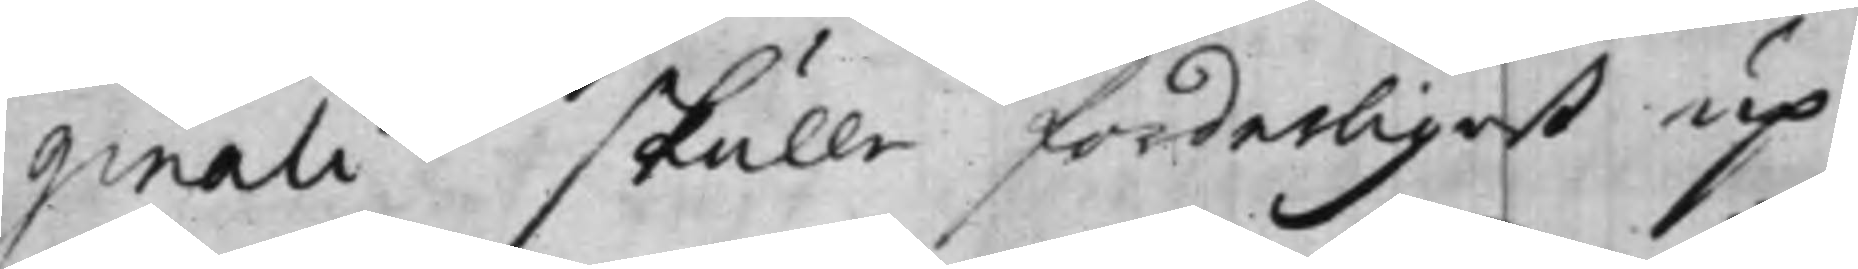ginali skulle forderligast up¬
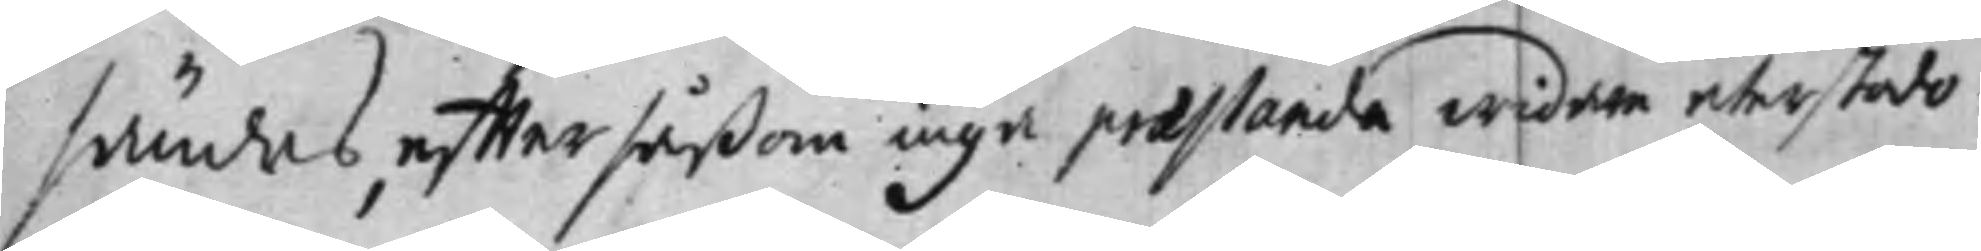sändas, effter såßom inga praestanda widare återstodo.
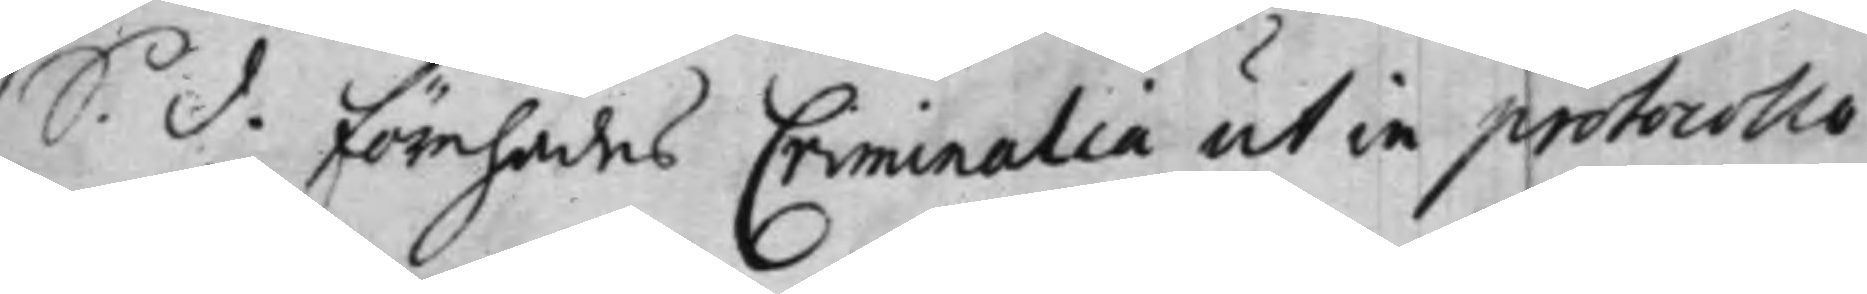S. d. Förehades Criminalia ut in protocollo
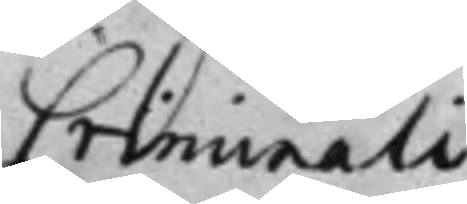Criminali
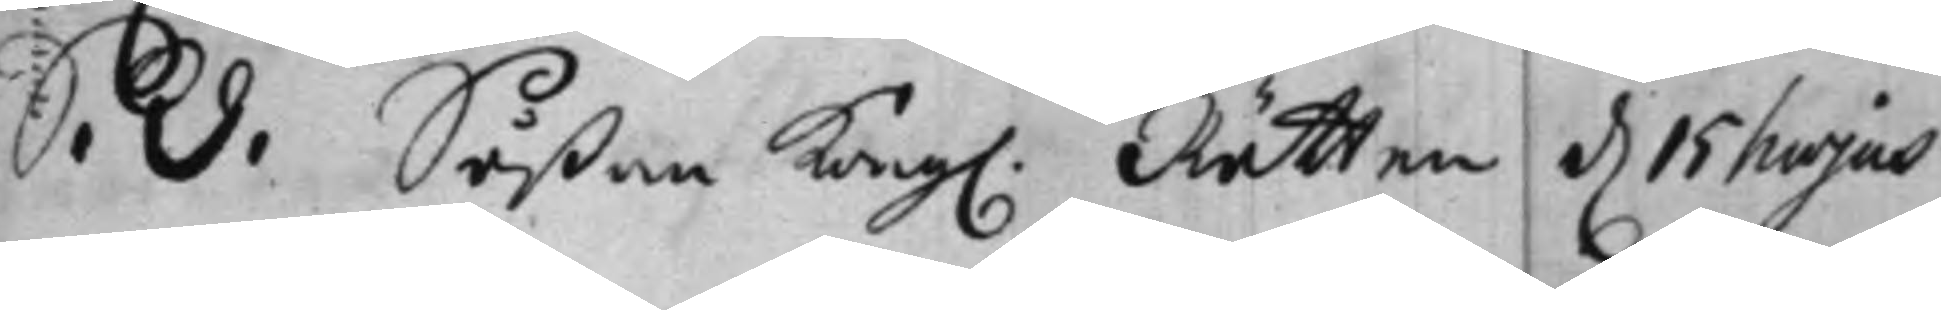S. d. Såßom Kong. Rätten d. 15 hujus
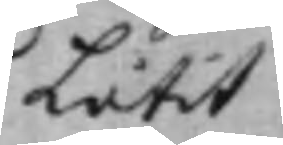Låtit
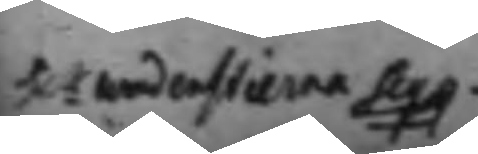H.r Wadenstierna Seq.g
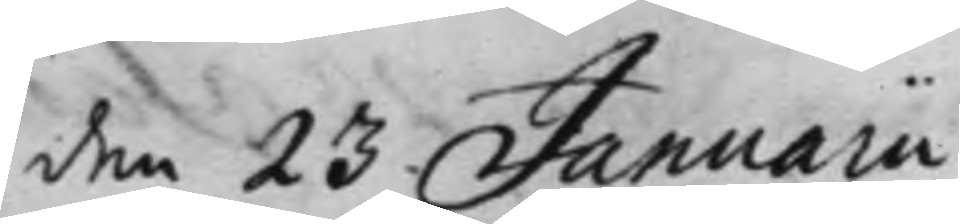den 23 Januarii
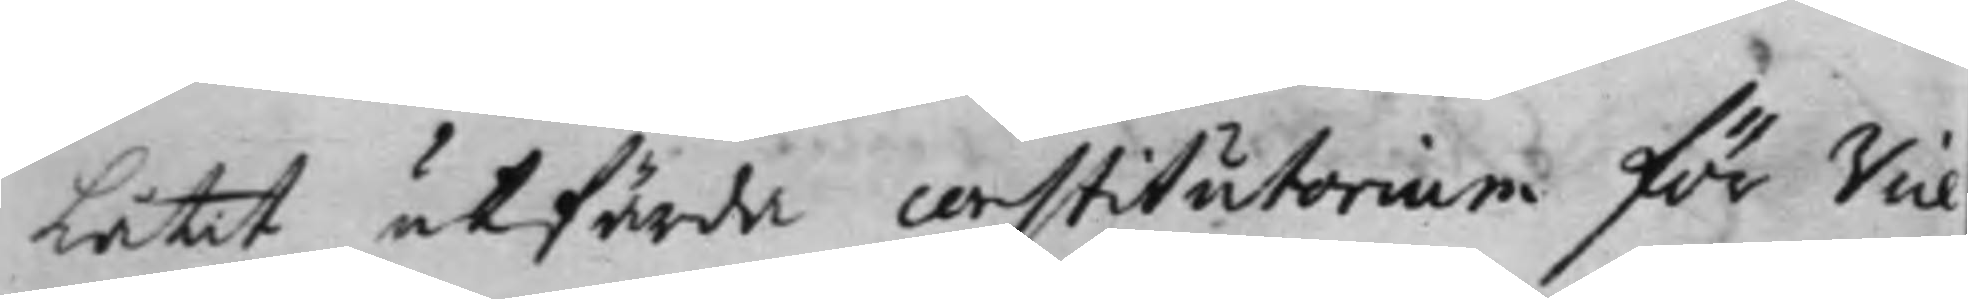Låtit utfärda constutorium för Vice
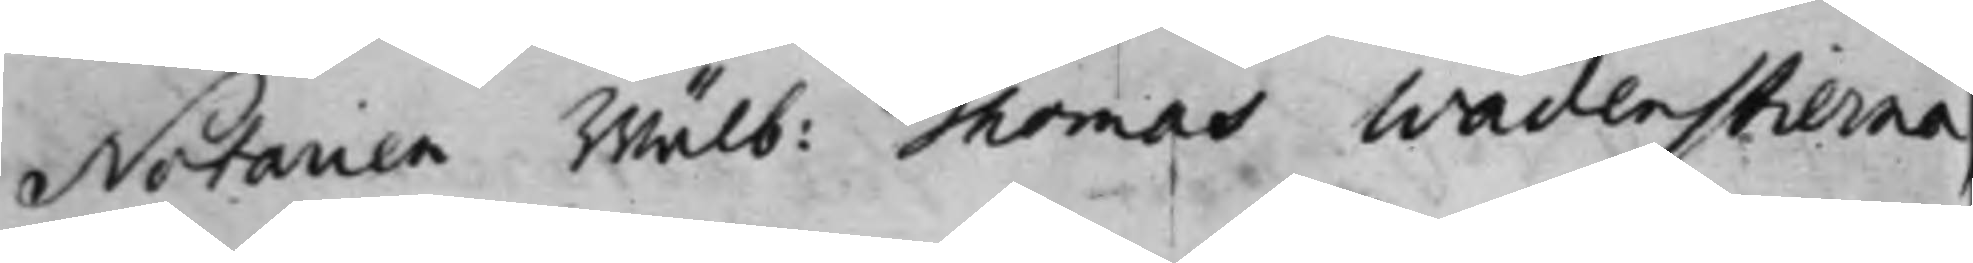Notarien Wälb: Thomas Wadenstierna,
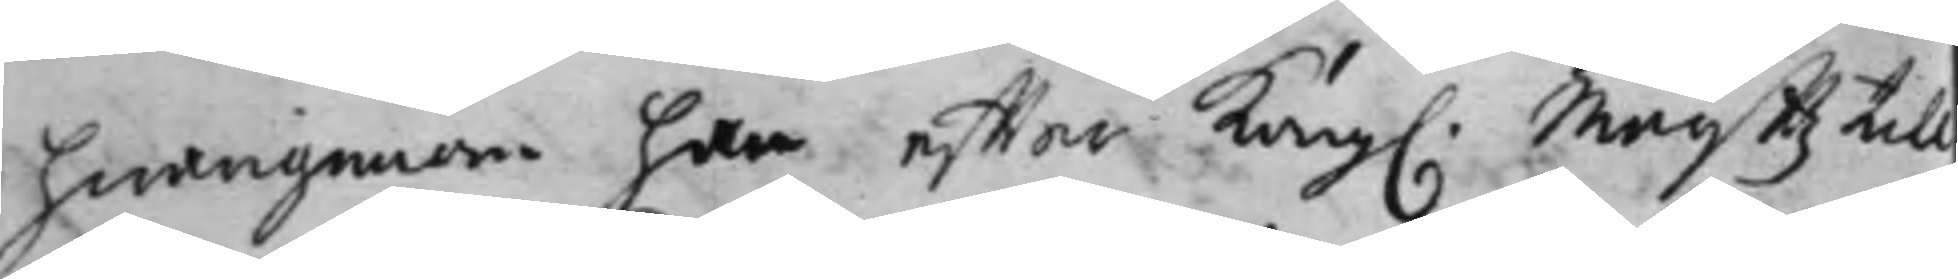hwarigenom han effter Kong. Maijttz till
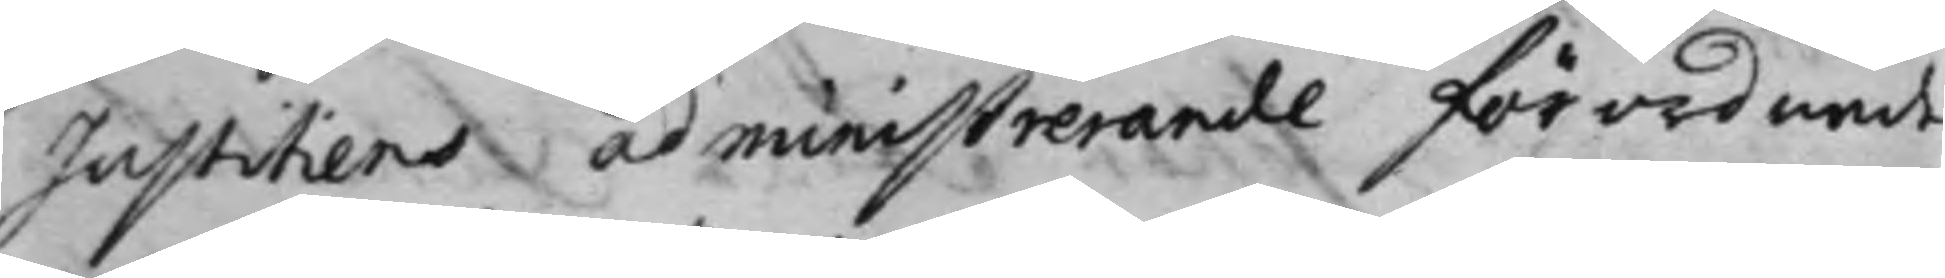Justitiens administrerande förordnande
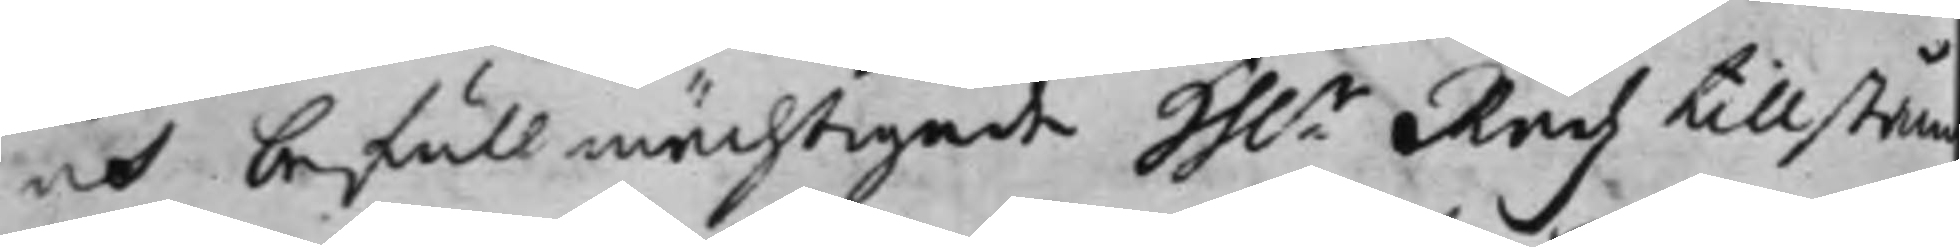och befullmächtigade Hh.r Rådz tillstån
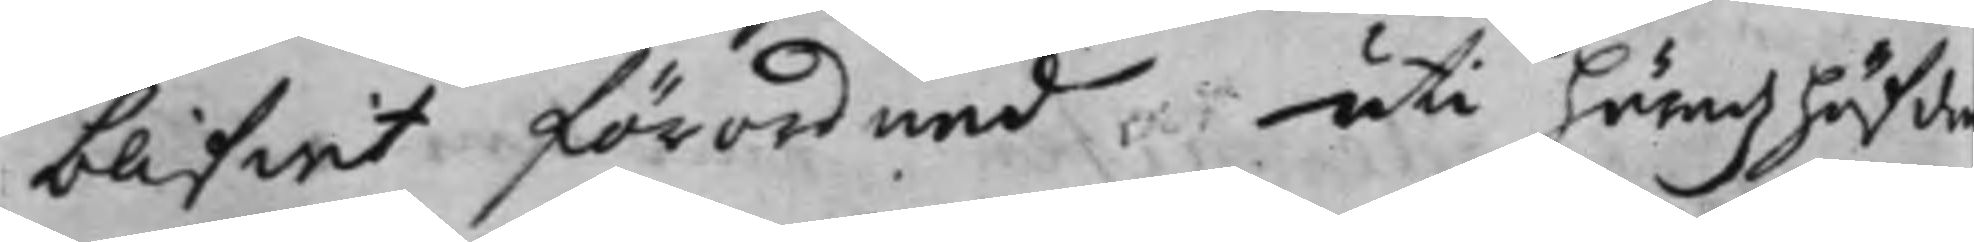blifwit förordnad, uti häradhöfdin¬
